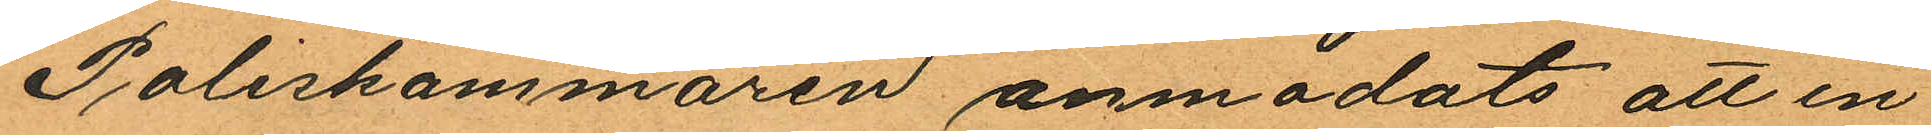Poliskammaren anmodats att in
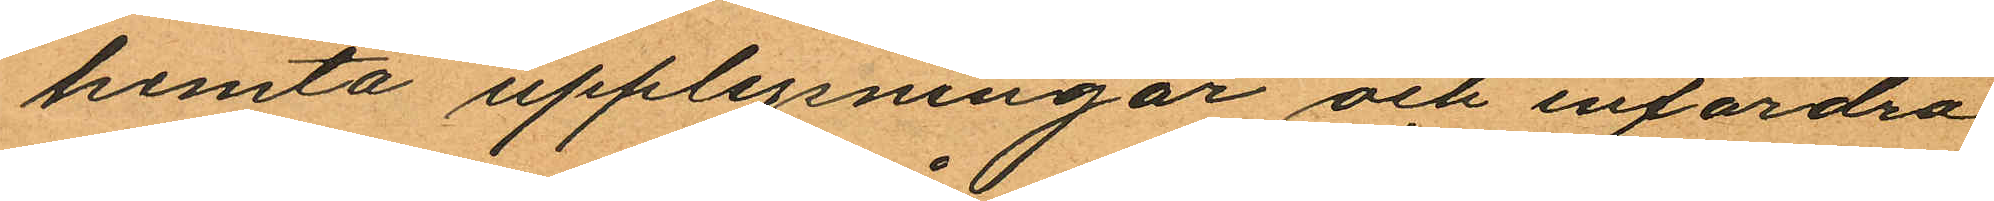hemta upplysningar och infordra
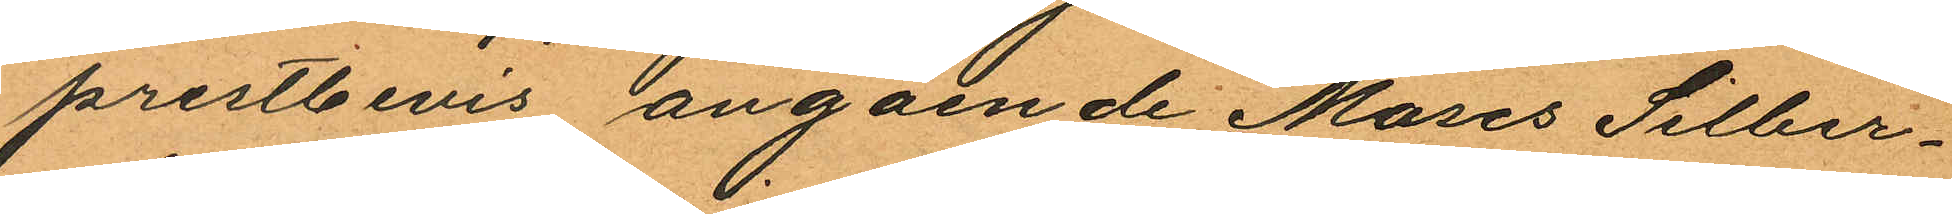prestbevis angående Moses Silber¬
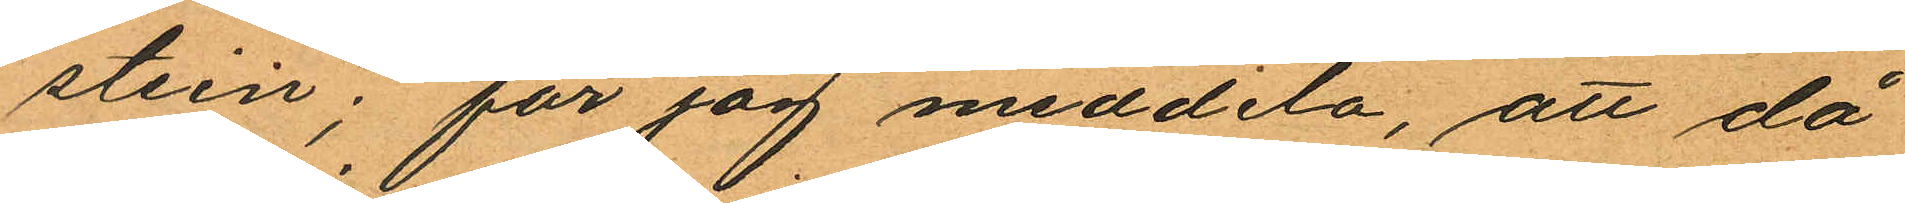stein; får jag meddela, att då
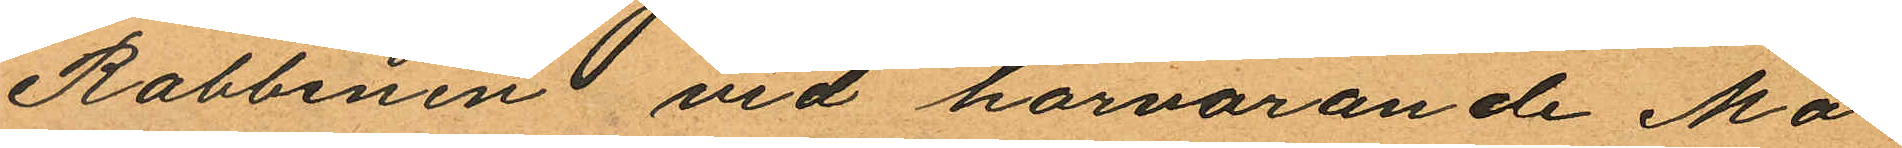Rabbinen vid härvarande Mo¬
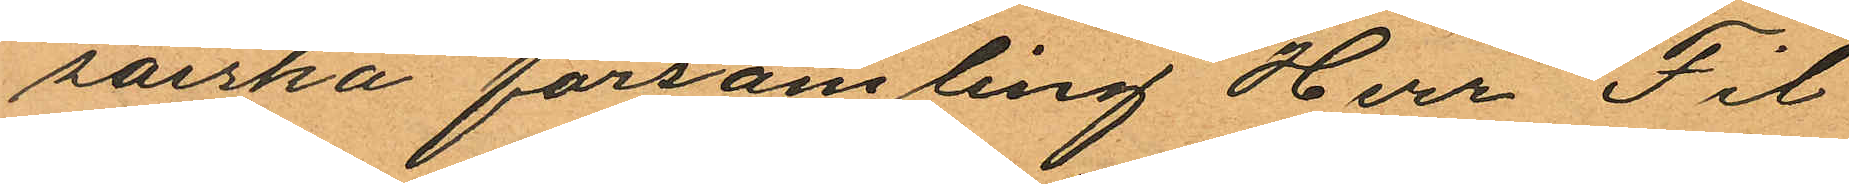saiska församling Herr Fil
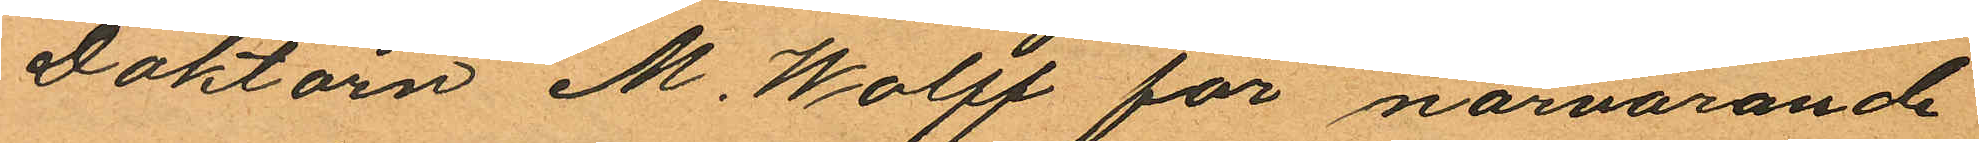Doktorn M. Wolff för närvarande
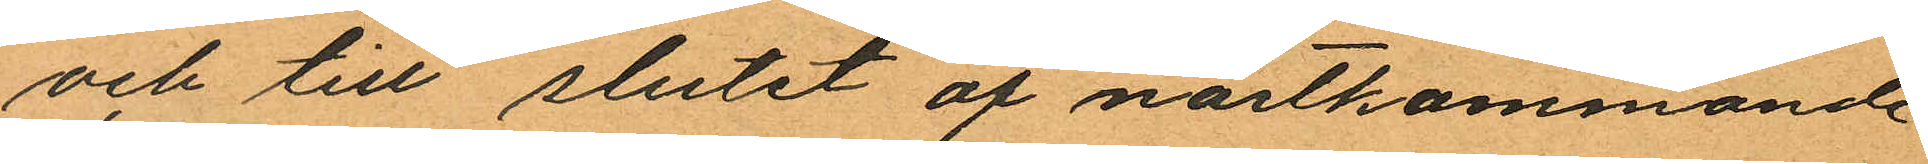och till slutet af nästkommande
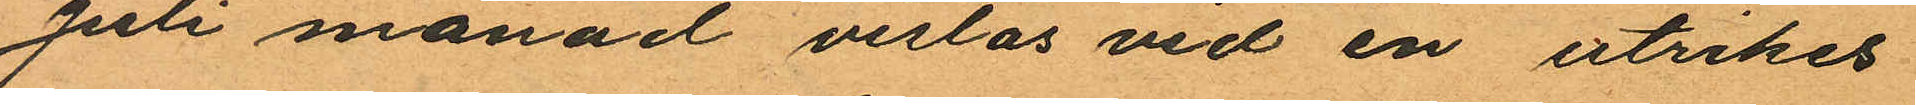Juli månad vistas vid en utrikes
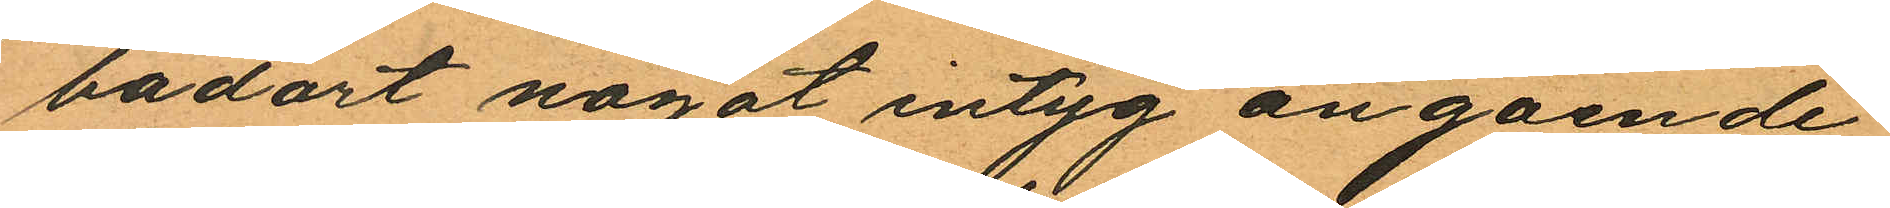badort något intyg angående
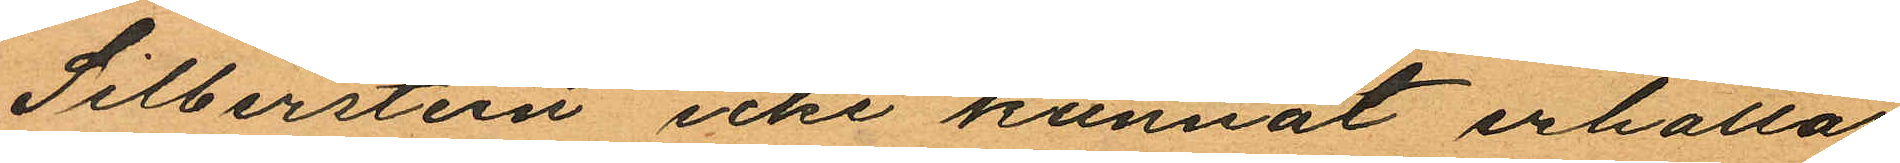Silberstein icke kunnat erhållas
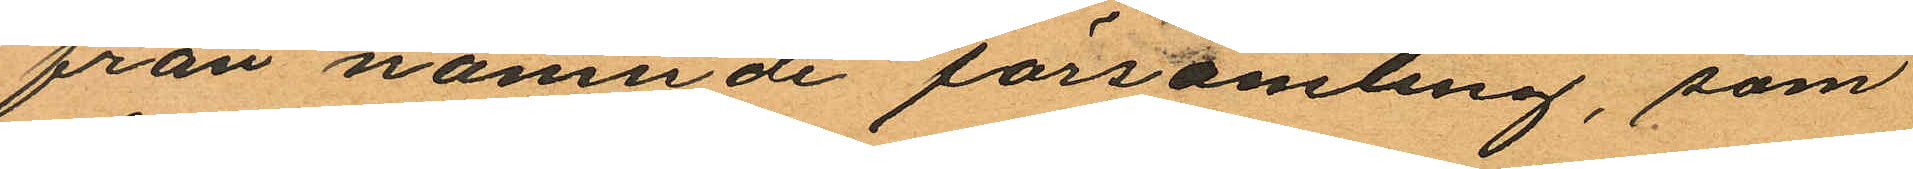från nämnde församling, som
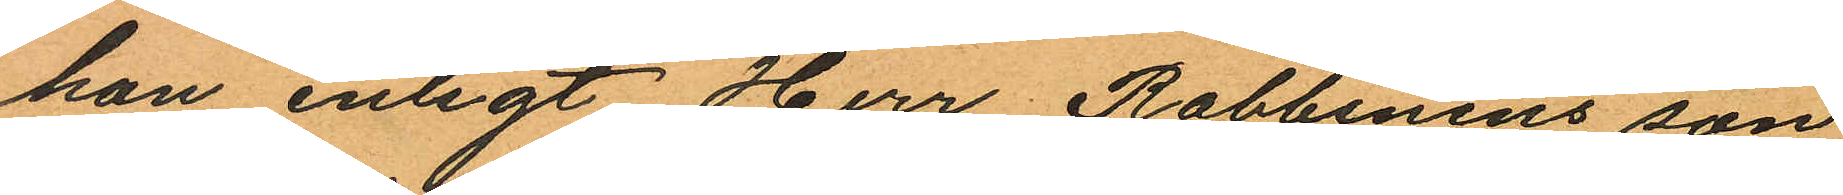han enligt Herr Rabbinens son
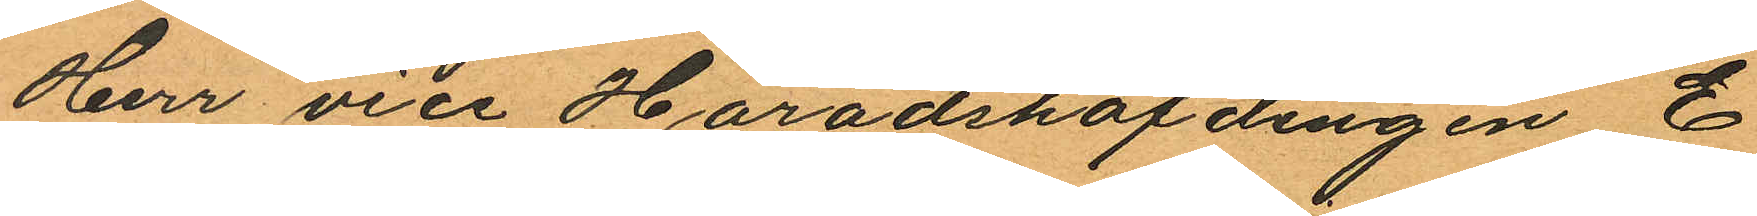Herr vice Häradshöfdingen E.
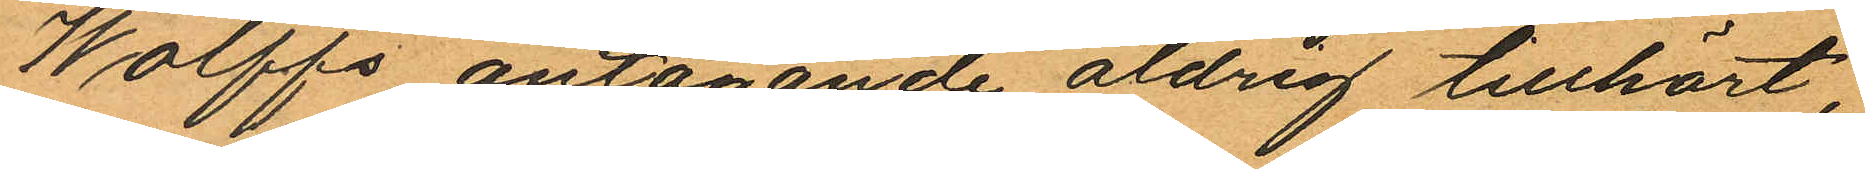Wolffs antagande aldrig tillhört,
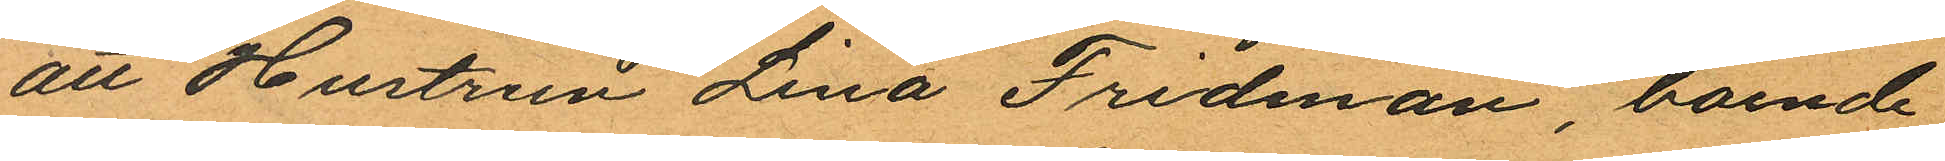att Hustrun Lina Fridman, boende
